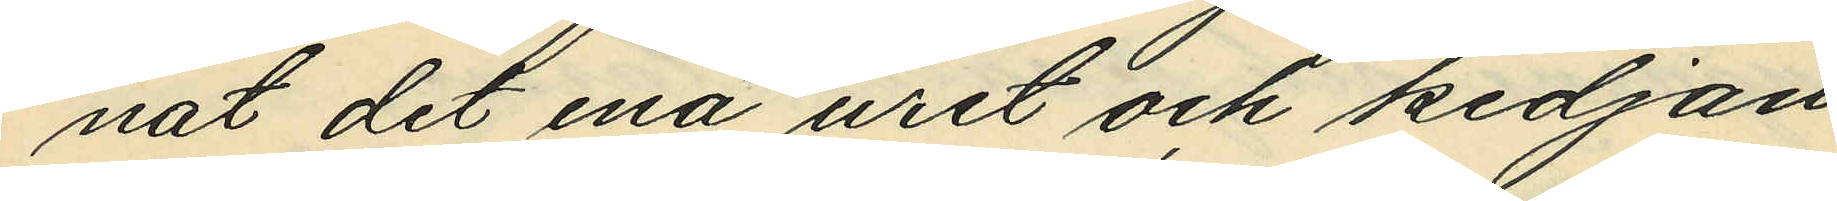nat det ena uret och kedjan
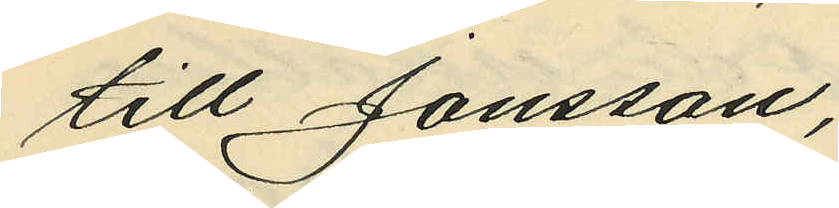till Jonsson;
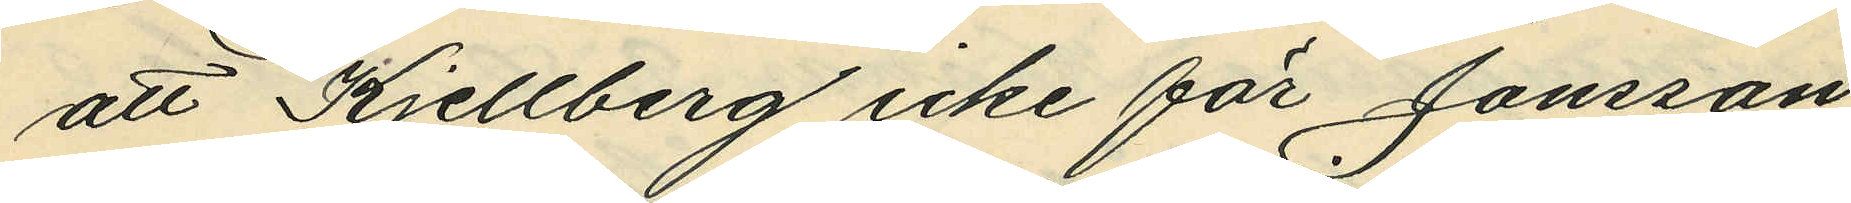att Kjellberg icke för Jonsson
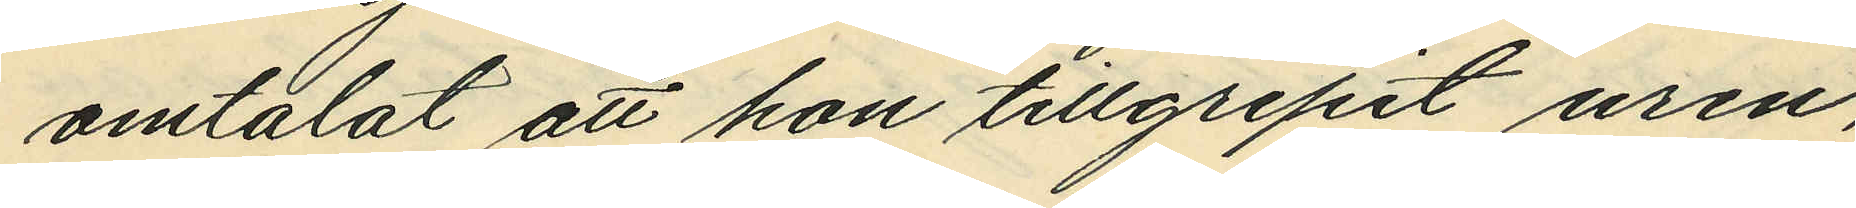omtalat att hon tillgripit uren,
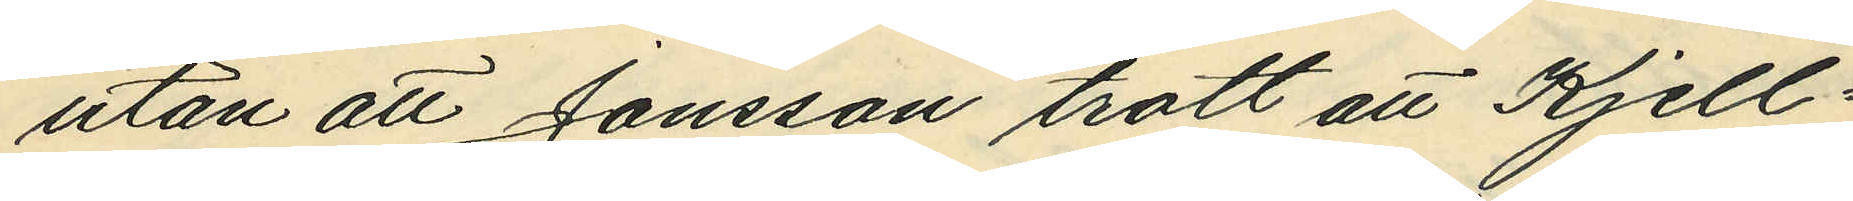utan att Jonsson trott att Kjell¬
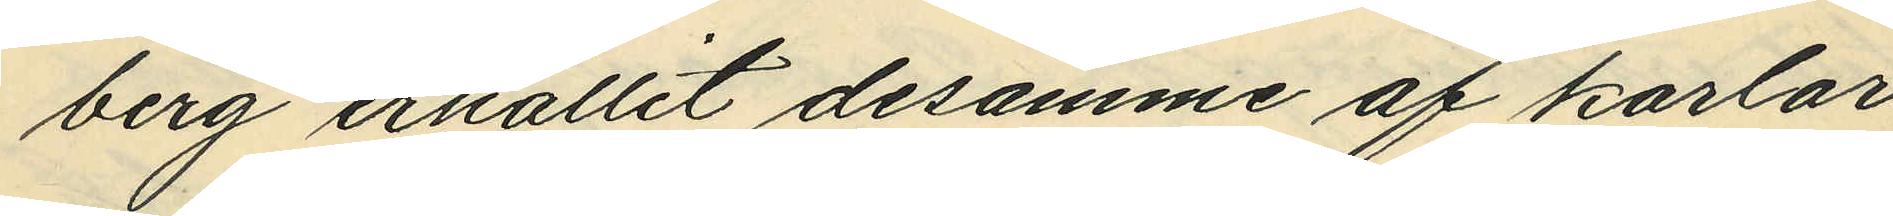berg erhållit desamme af karlar
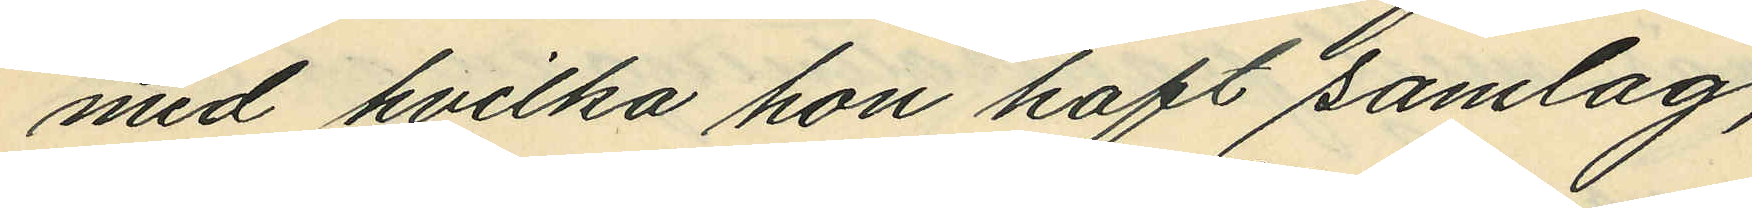med hvilka hon haft samlag;
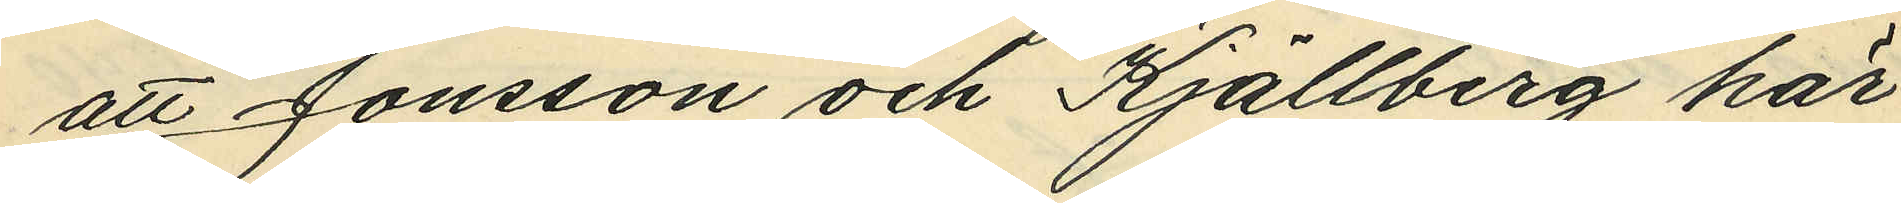att Jonsson och Kjellberg här¬
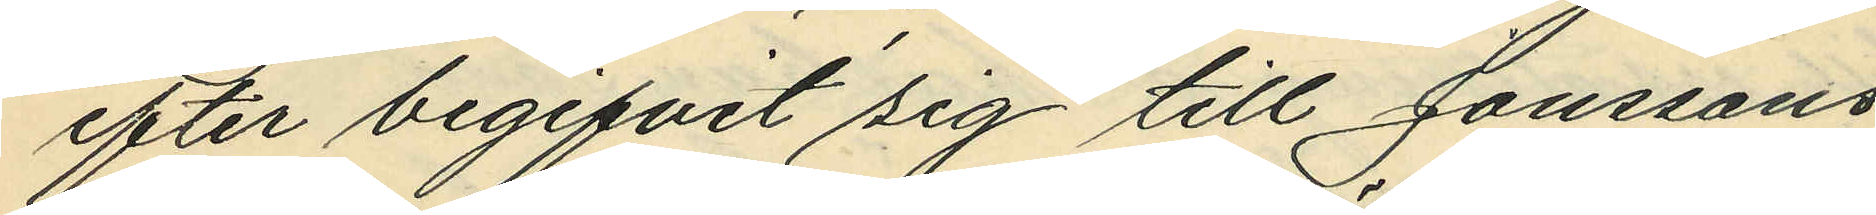efter begifvit sig till Jonssons
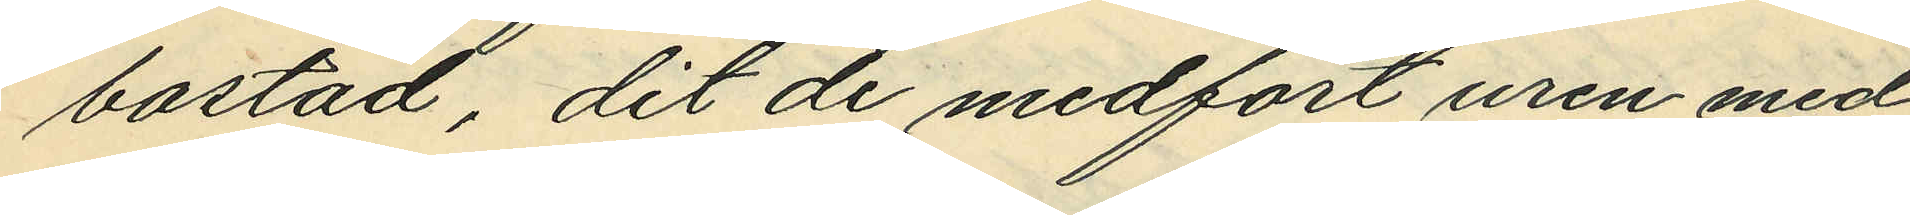bostad, dit de medfört uren med
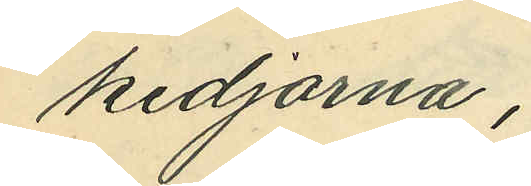kedjorna;
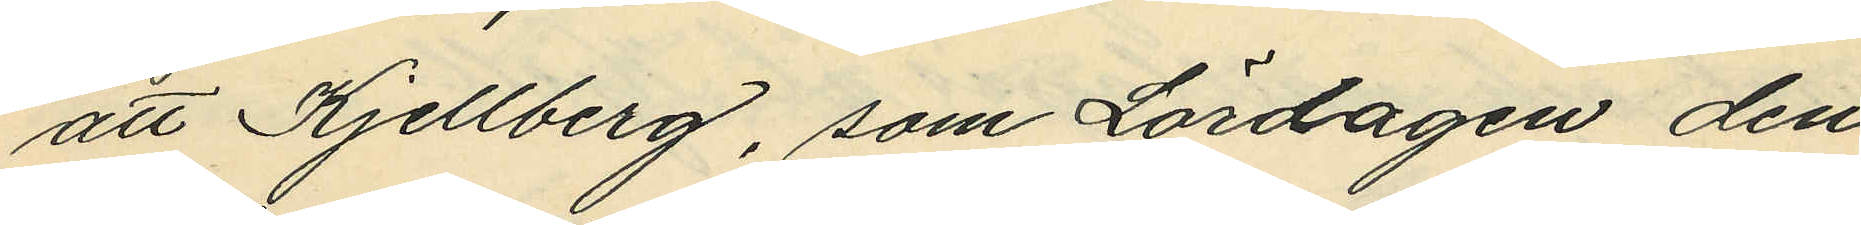att Kjellberg, som Lördagen den
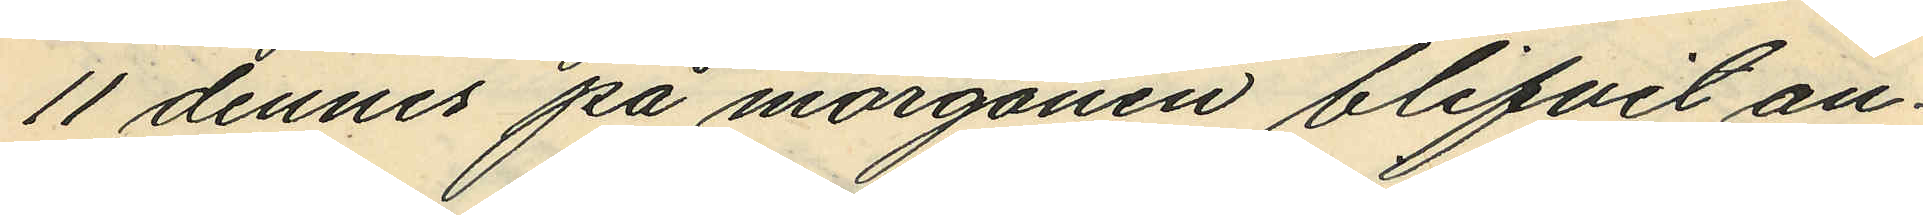11 dennes på morgonen blifvit an¬
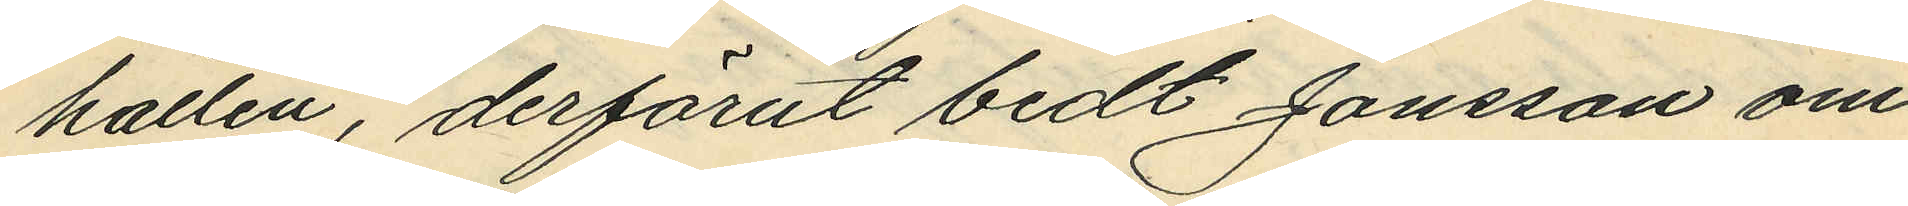hållen, derförut bedt Jonsson om¬
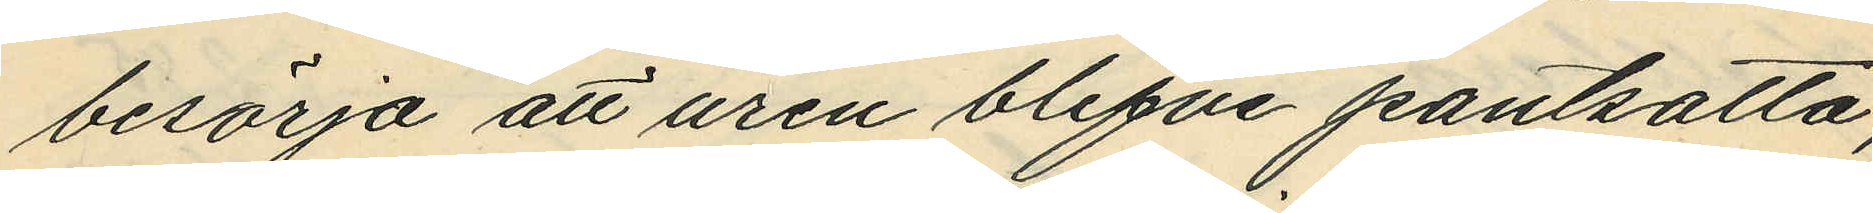besörja att uren blefve pantsatta
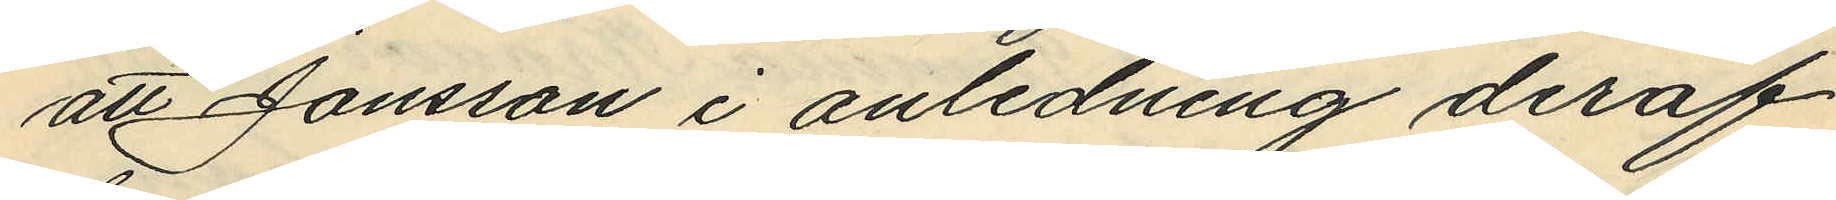att Jonsson i anledning deraf
